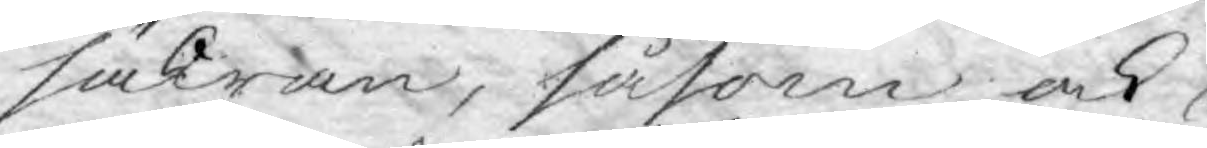säkran, såsom ock
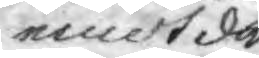emot den
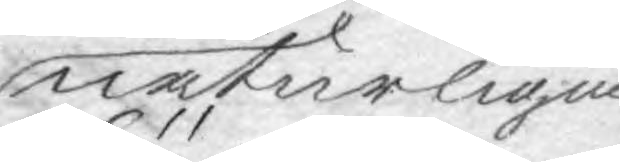naturligne
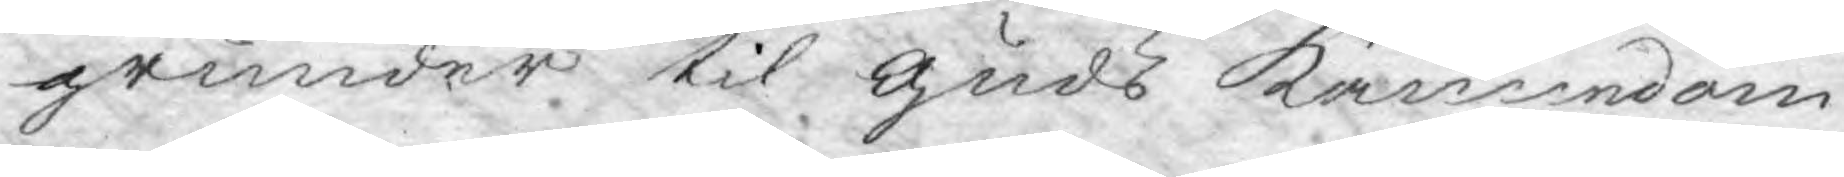grunder til Guds kännedom
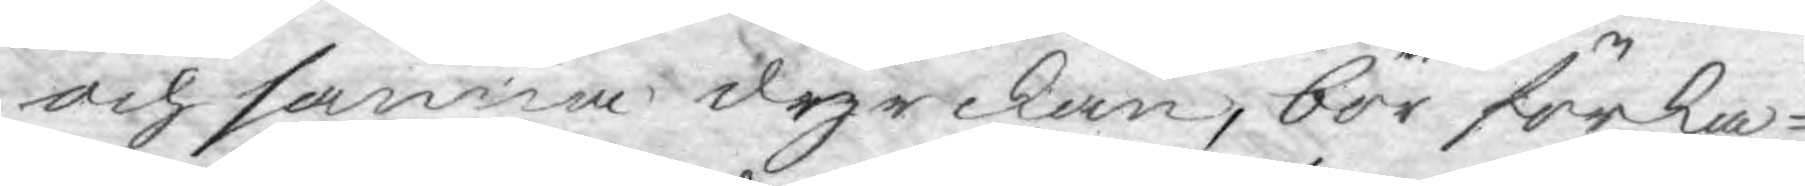och sanna dyrckan, bör förka¬
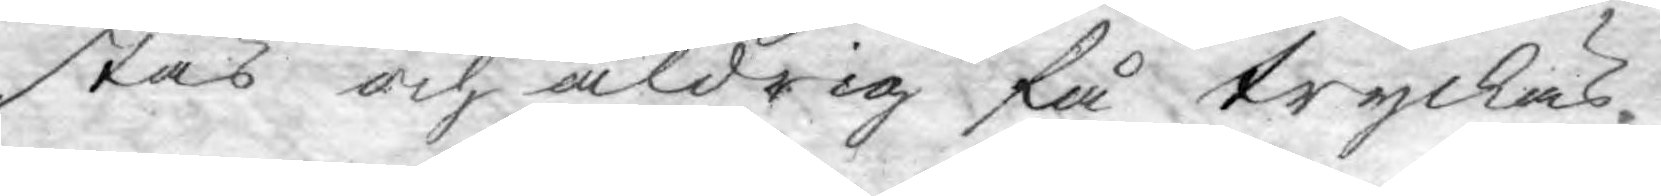stas och aldrig få tryckas.
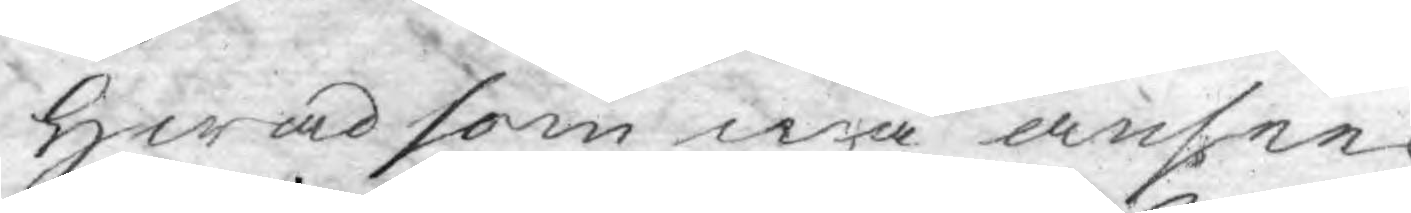Hwad som må ansees
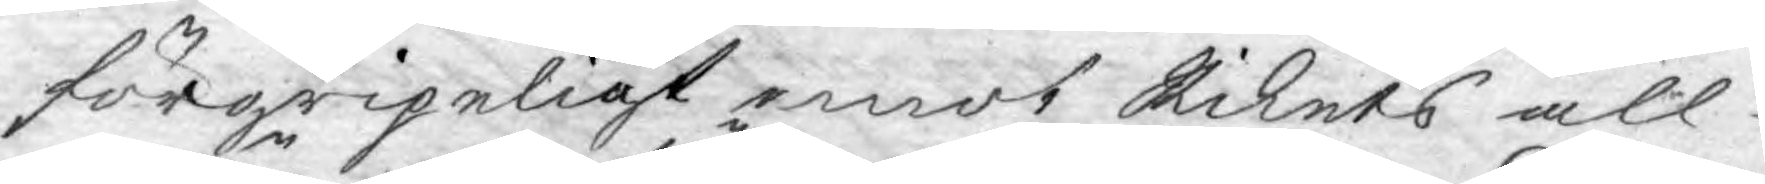förgripeligt emot Rikets all¬
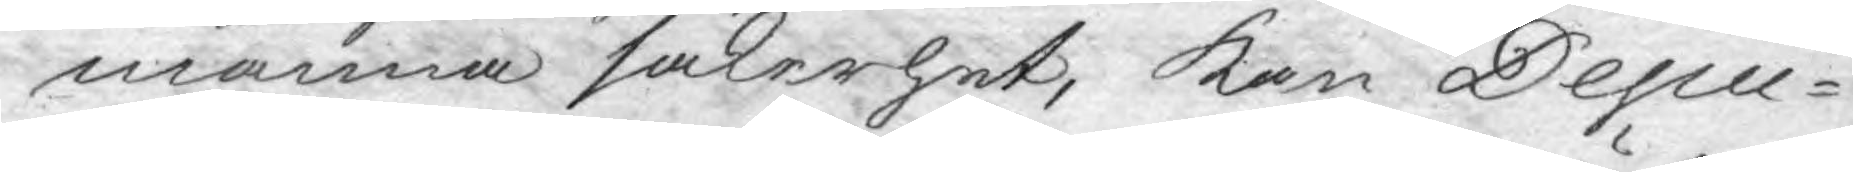männa säkerhet, kan Depu¬
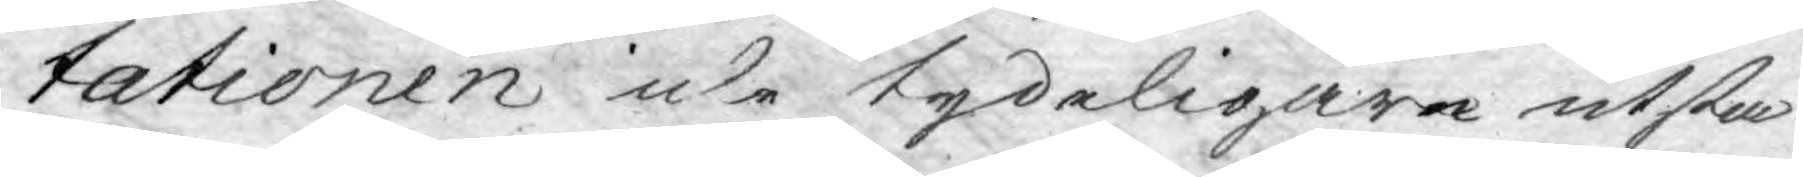tationen icke tydeligare utsta¬
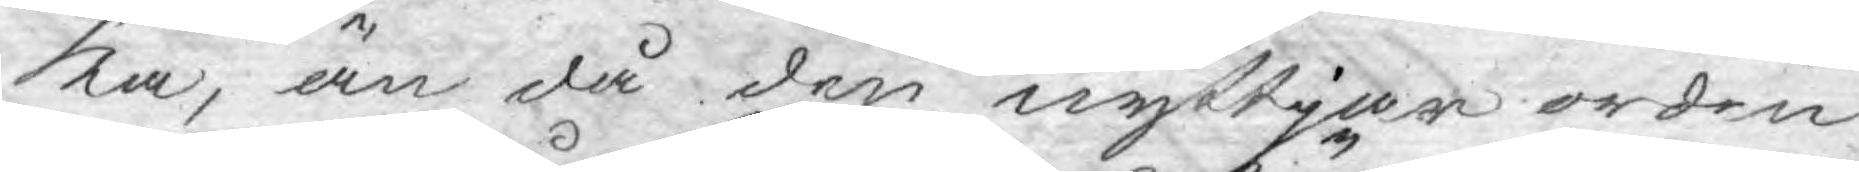ka, än då den nyttjar orden
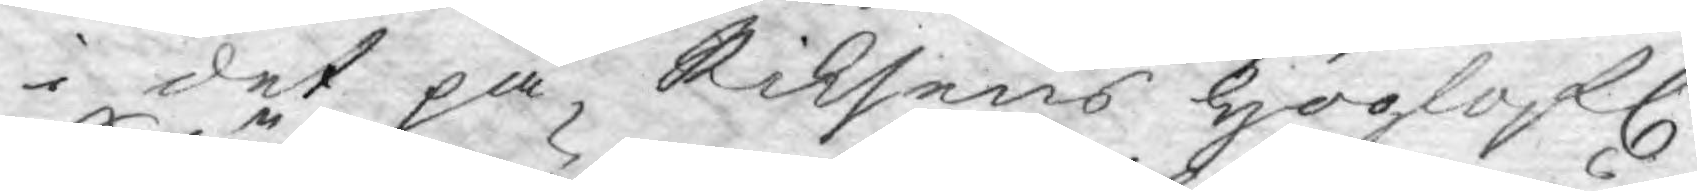i det på Riksens Höglofl.
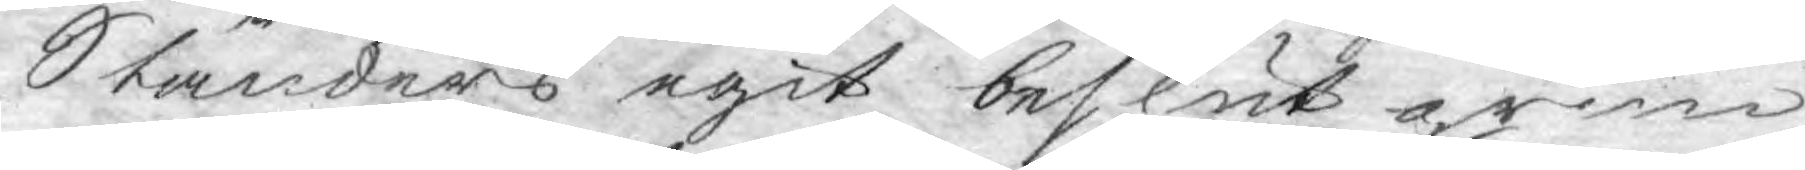Ständers egit beslut grun¬
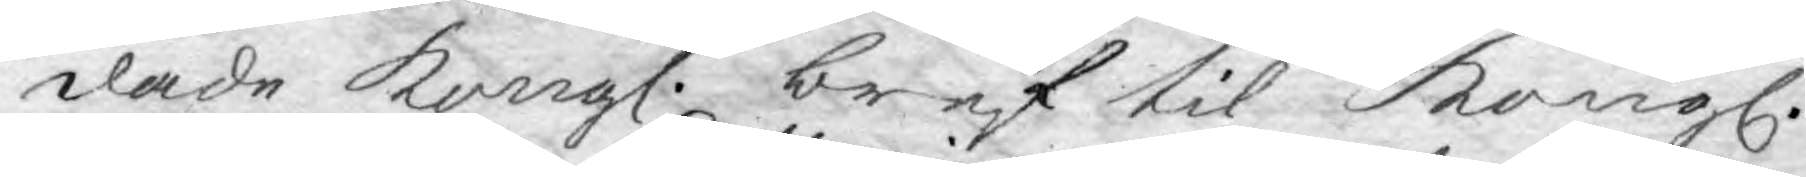dade Kongl. bref til Kongl.
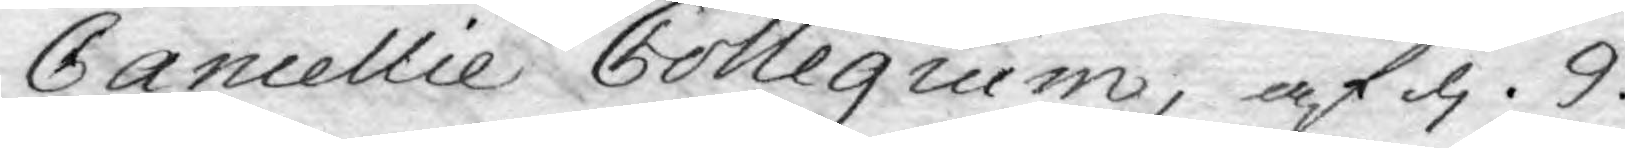Cancellie Collegium, af d. 9.
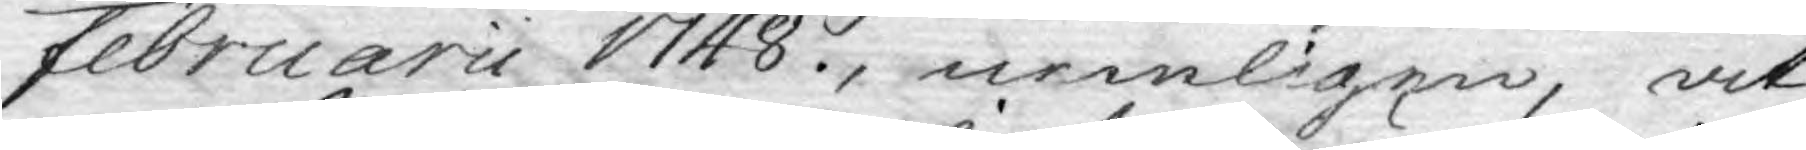Februarii 1748, nemligen, at
